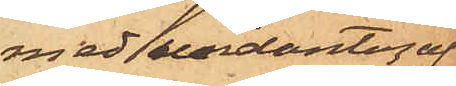med undantag af
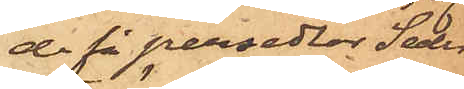de få persedlar Seder¬
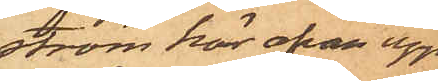ström här ofvan upp¬
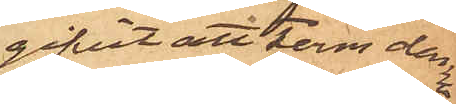gifvit att Ferm denna
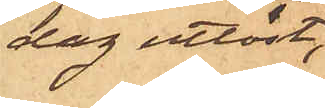dag utlöst;
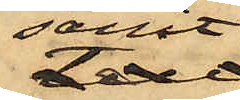samt
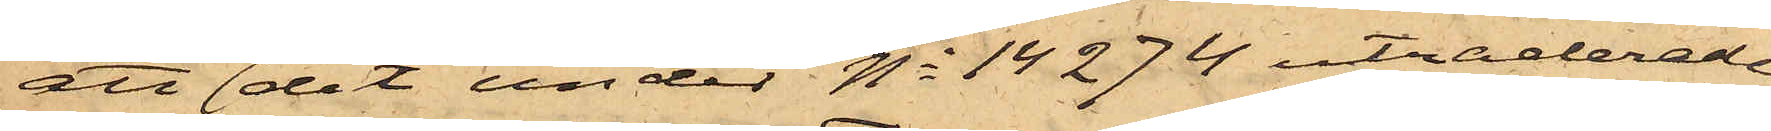att det under No 14294 utraderade
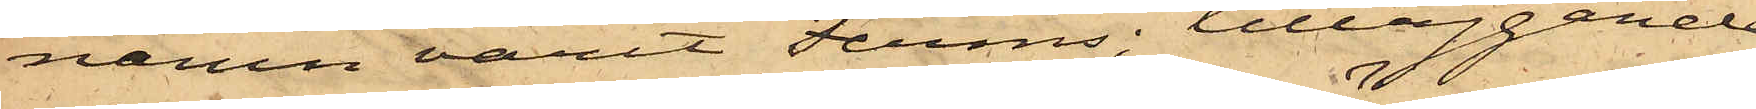namn varit Ferms; tilläggande
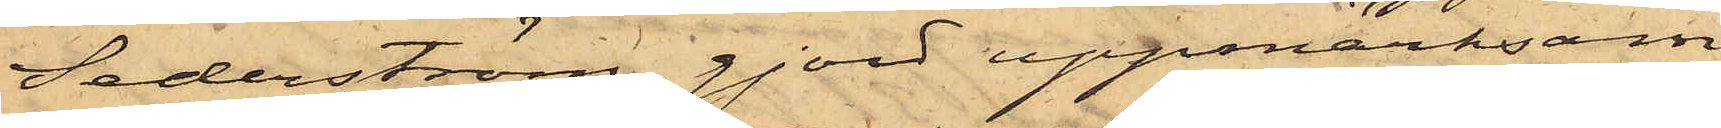Sederström gjord uppmärksam¬
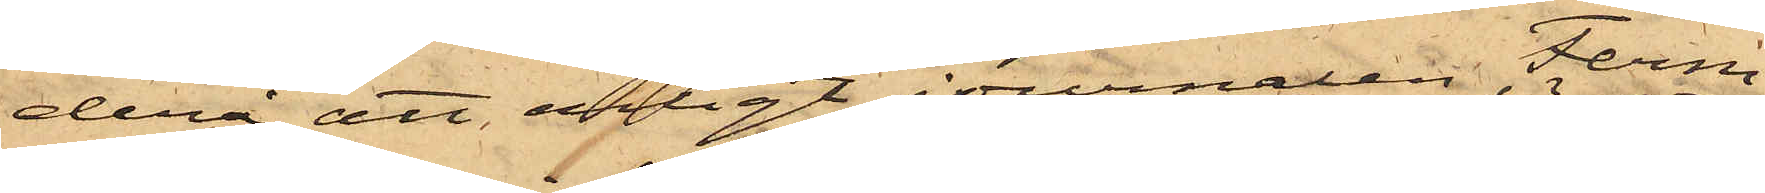derå att enligt journalen Ferm
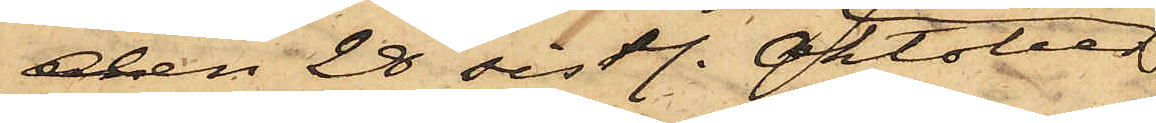den 28 sistl. Oktober
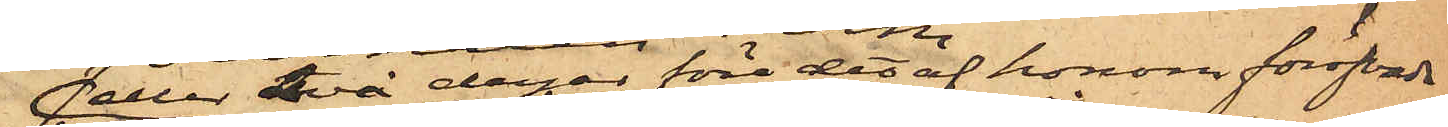eller två dagar före det af honom föröfvade
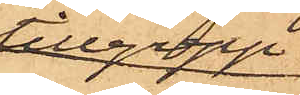tillgrepp
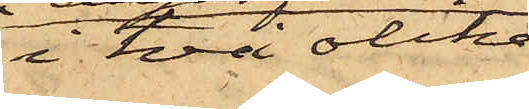i två olika
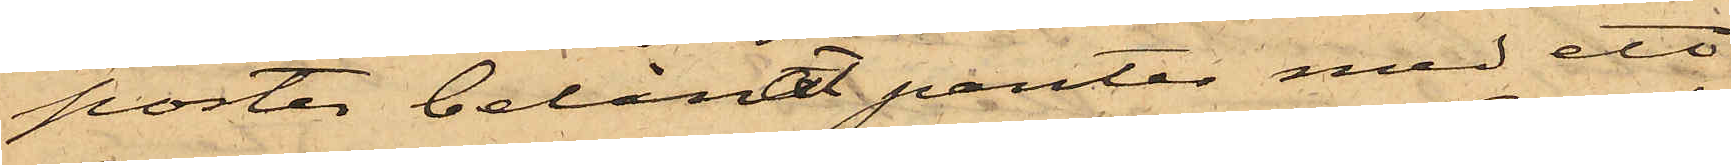poster belånat panter med ett
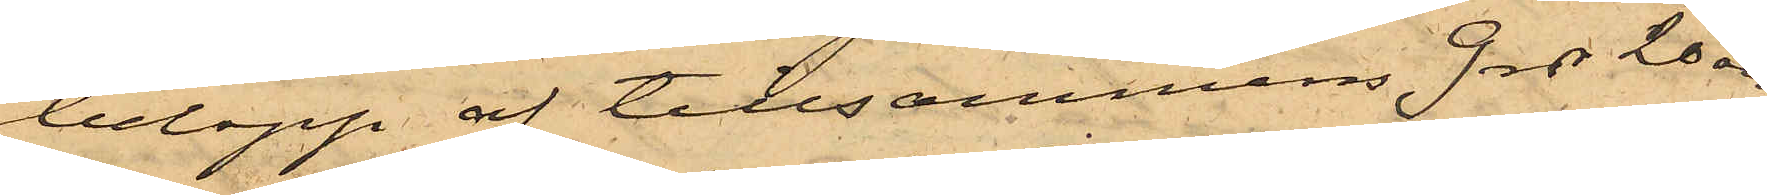belopp af tillsammans 9 rdr 20 öre;
